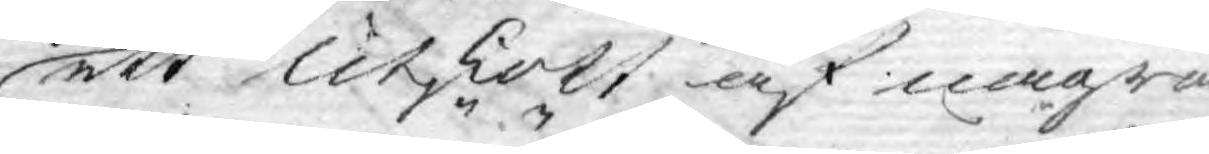ett Utskott af några
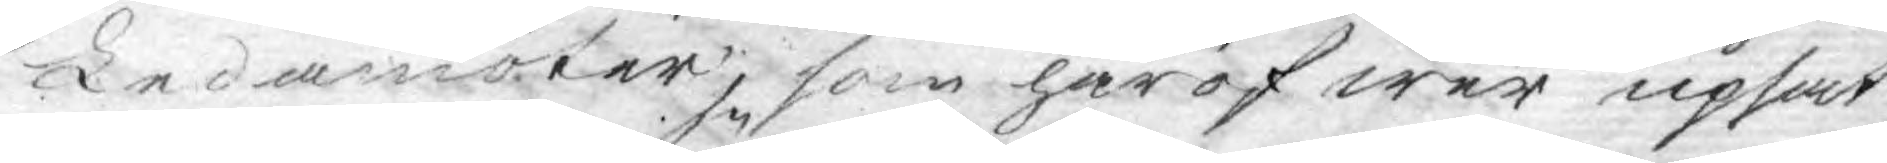Ledamöter, som häröfwer upsat¬
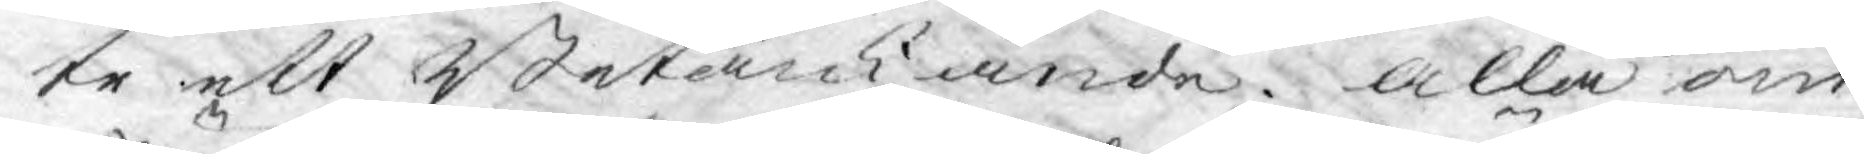te ett Betänkande alla om¬
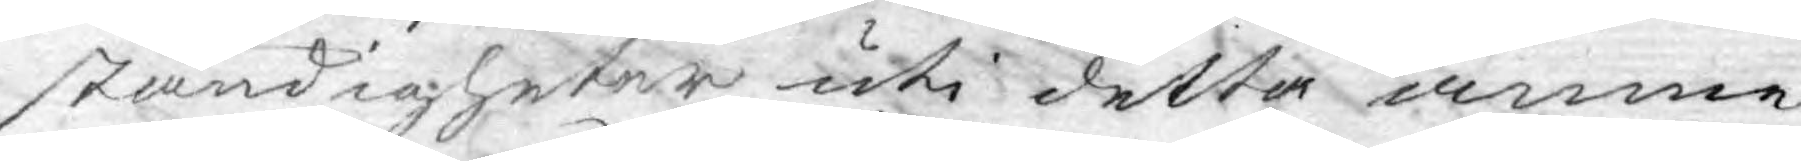ständigheter uti detta ämne
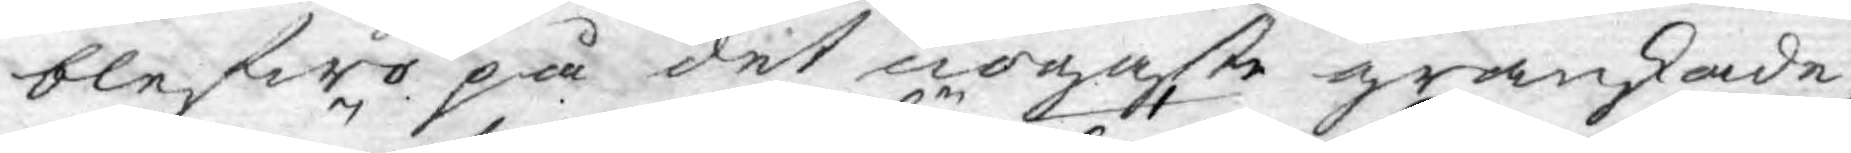blefwo på det nogaste granskade,
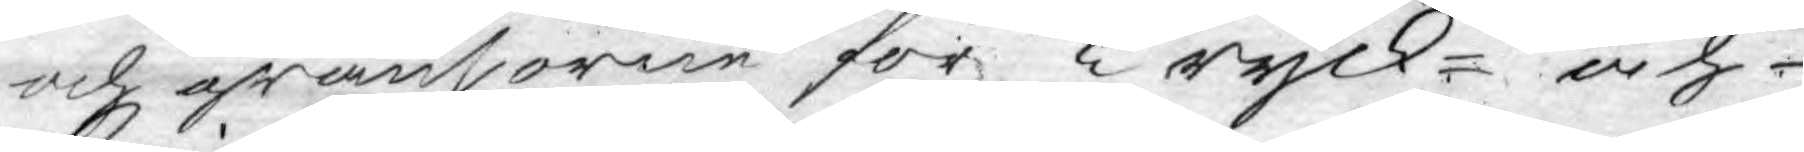och gränsorne för Tryck- och¬
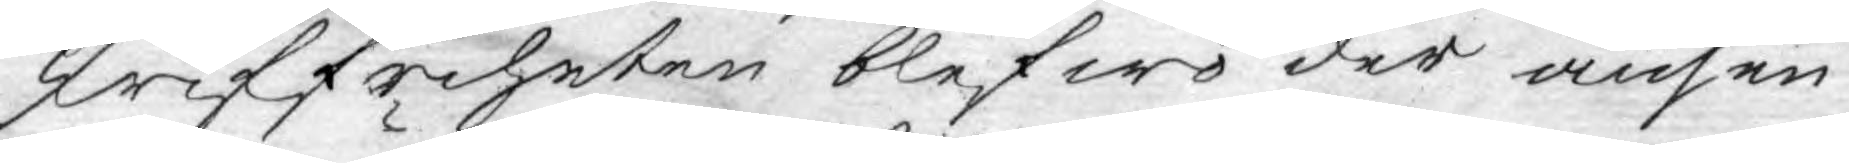skriffriheten blefwo der ansen¬
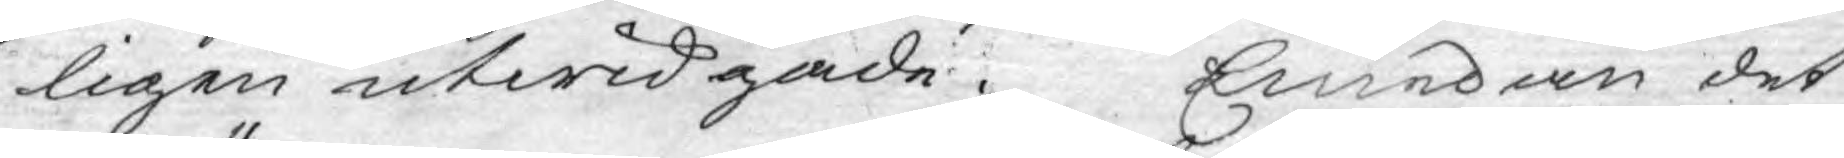ligen utwidgade. Emedan det¬
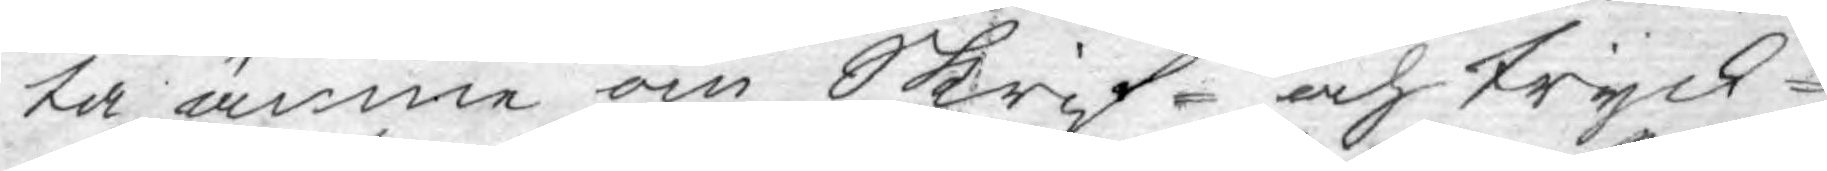ta ämne om Skrif- och Tryck¬
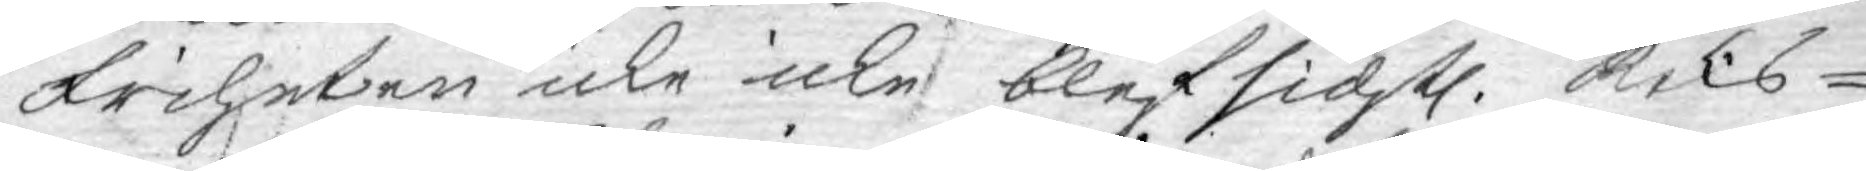friheten icke icke blef sidstl. Riks¬
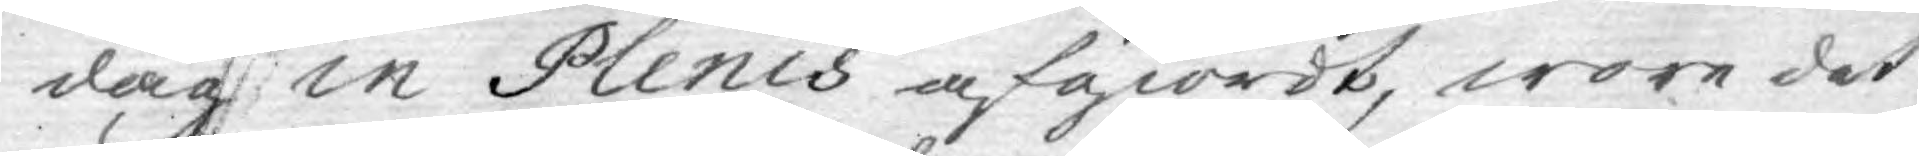dag in Plenis afgiordt, wore det
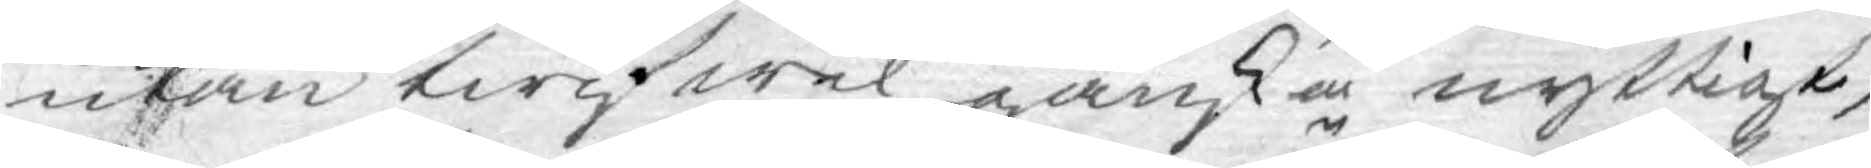utan twifwel ganska nyttigt,
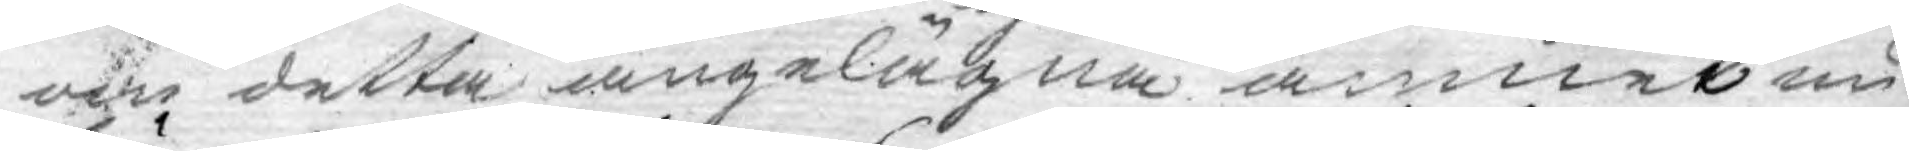om detta angelägna ämnet nu
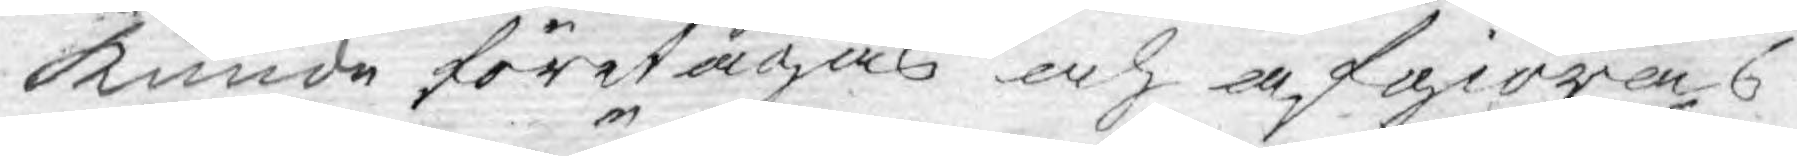kunde företagas och afgiöras,
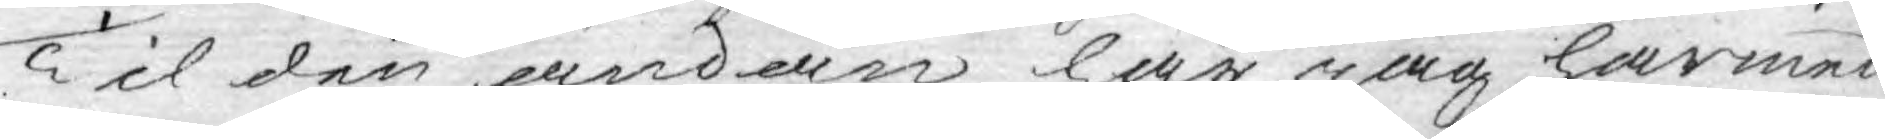Til den ändan har jag härmed
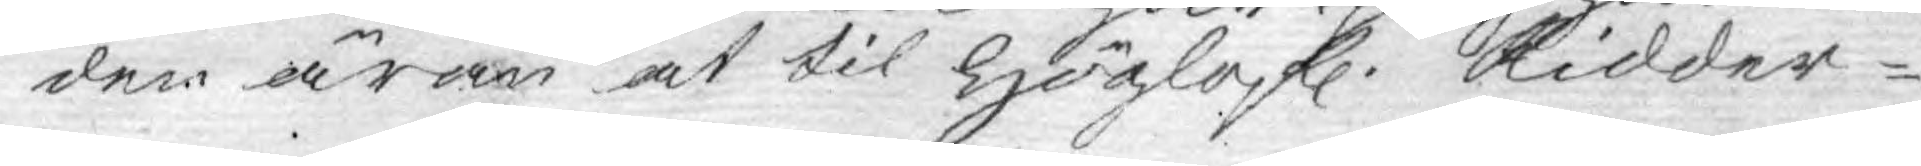den äran at til Höglofl. Ridder¬
